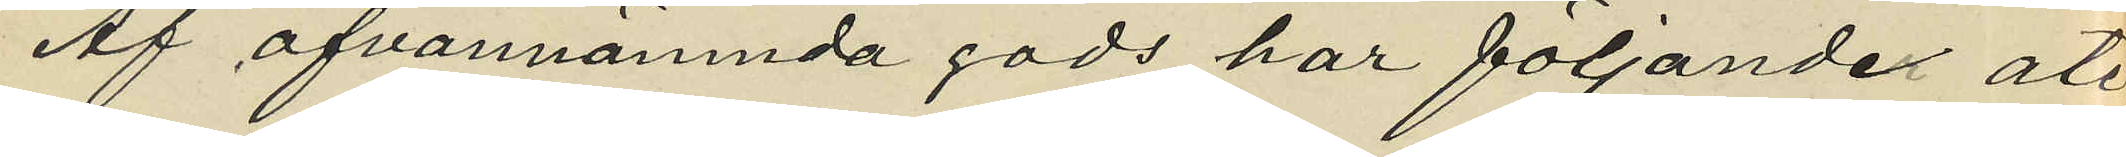Af ofvannämnda gods har följandet åter¬
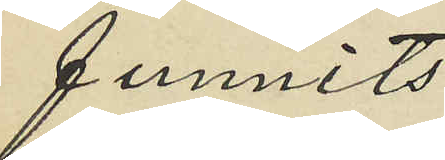funnits
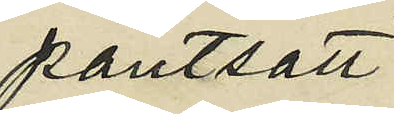pantsatt
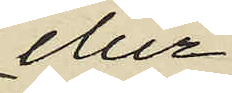eller
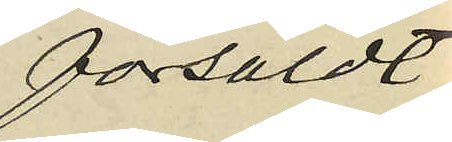försåldt
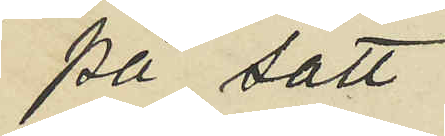på sätt
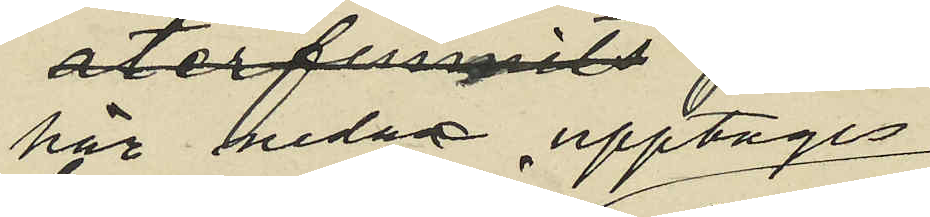här nedan upptages
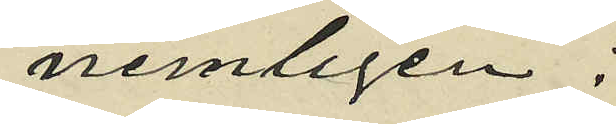nemligen:
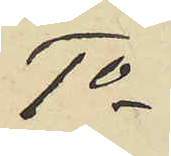1o
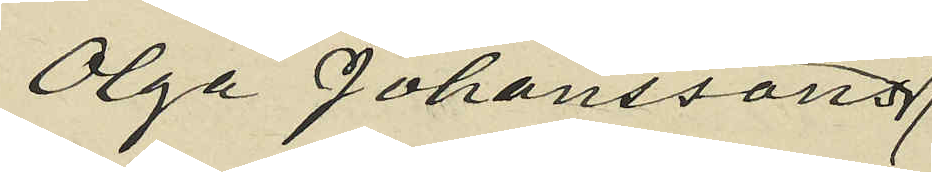Olga Johanssons
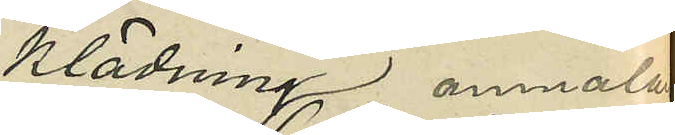klädning anmält
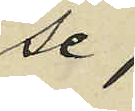(se
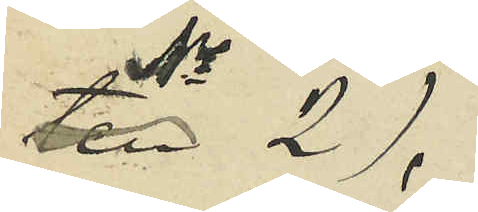No 2),
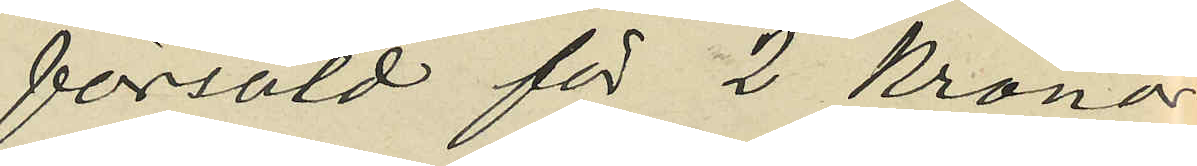försåld för 2 kronor
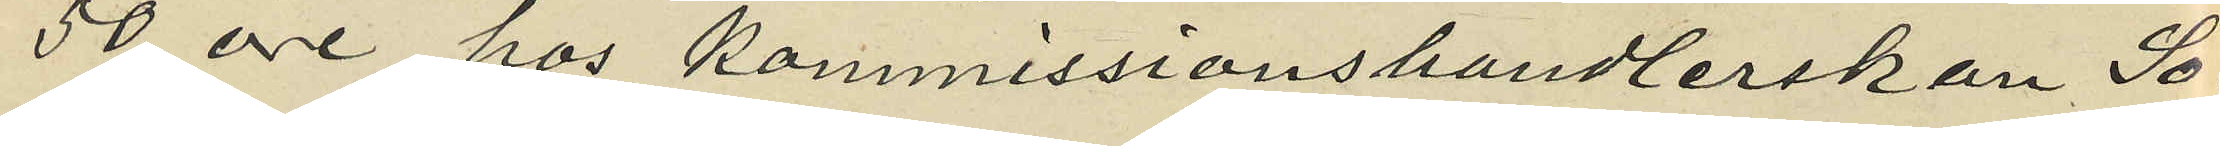50 öre hos Kommissionshandlerskan So¬
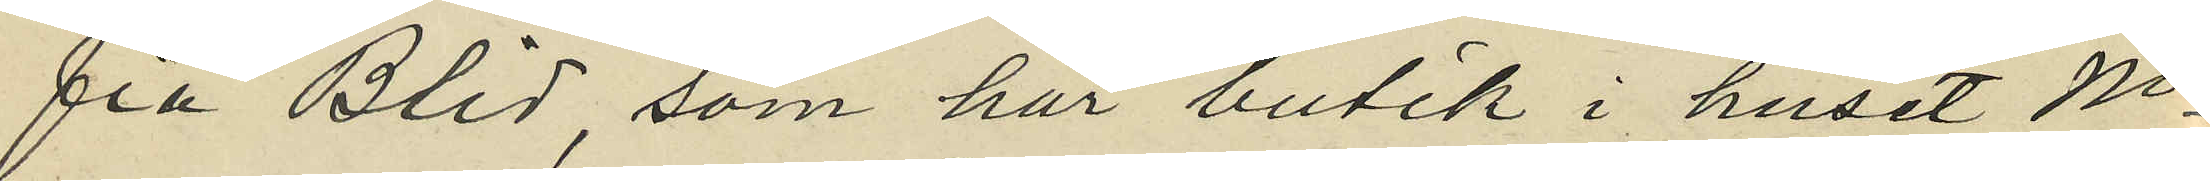fia Blid, som har butik i huset No
